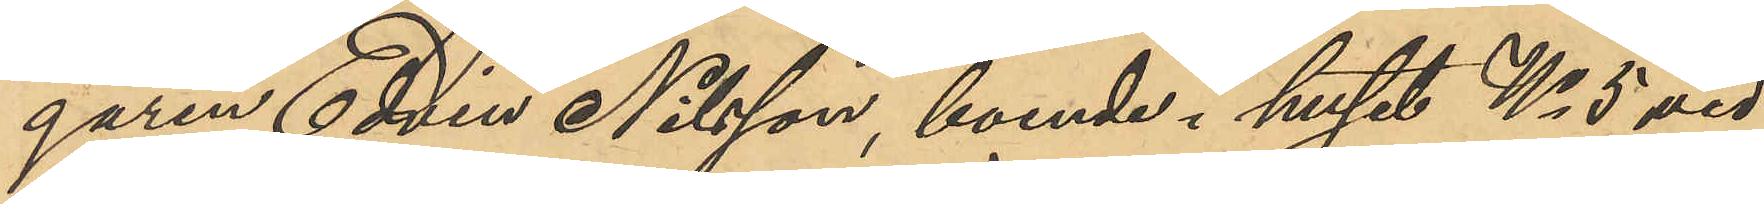garen Edvin Nilsson, boende i huset No 5 vid
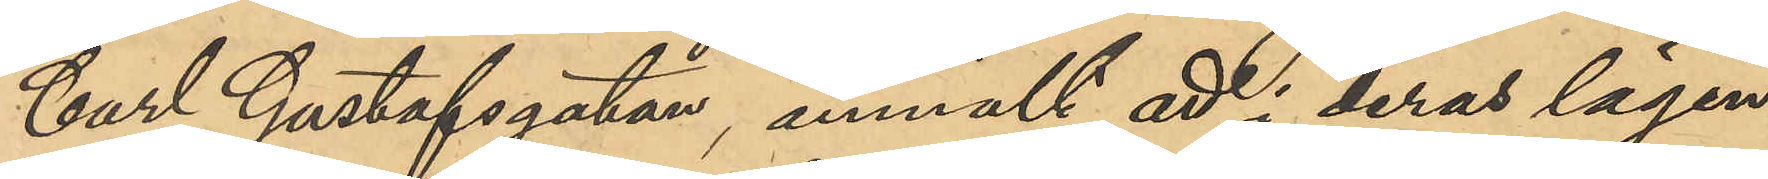Carl Gustafsgatan, anmält att i deras lägen¬
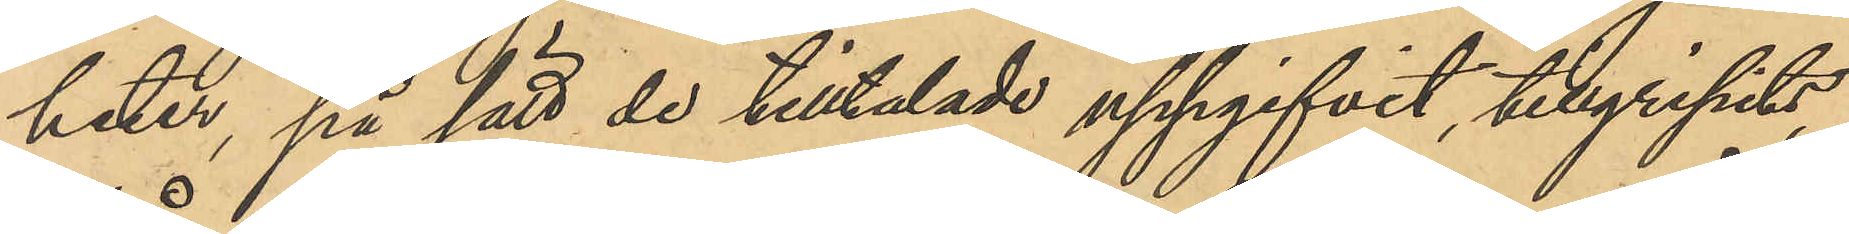heter, på sätt de tilltalade uppgifvit, tillgripits
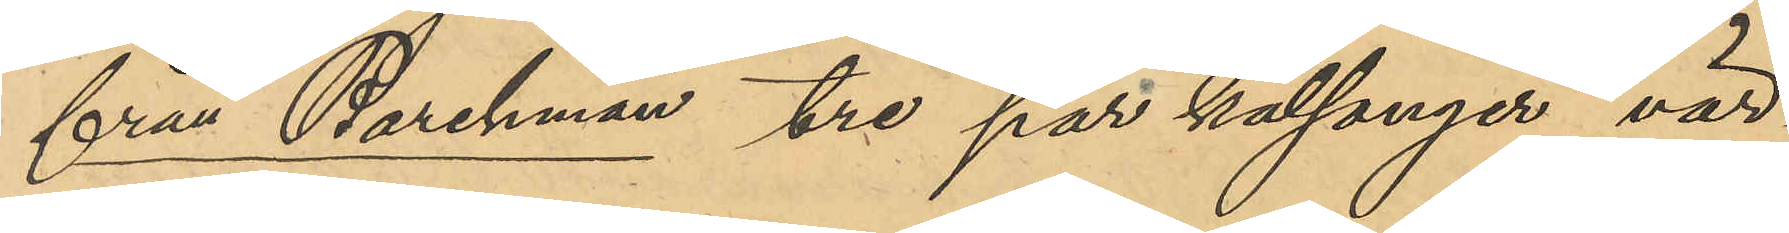från Barchman tre par kalsonger vär¬
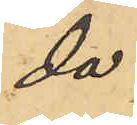da
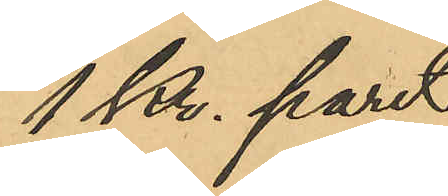1 Kr. paret
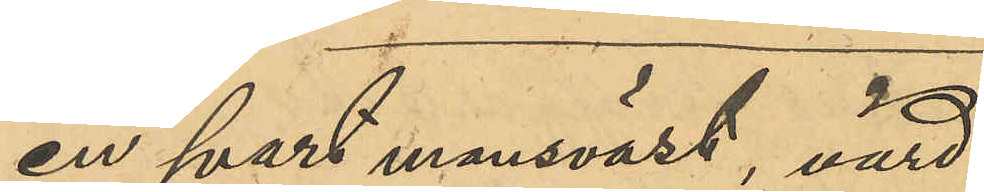en svart mansväst, värd
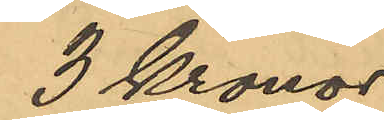3 Kronor
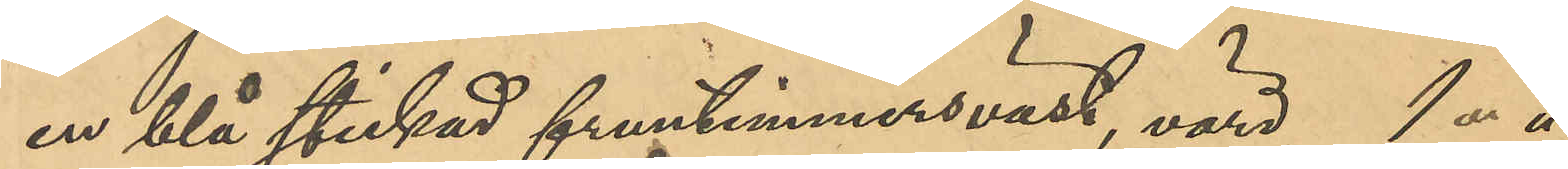en blå stickad fruntimmersväst, värd 1 "
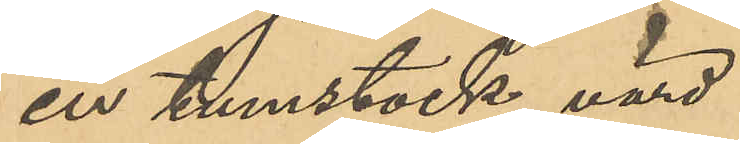en tumstock, värd
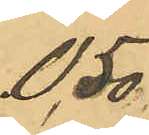0,50
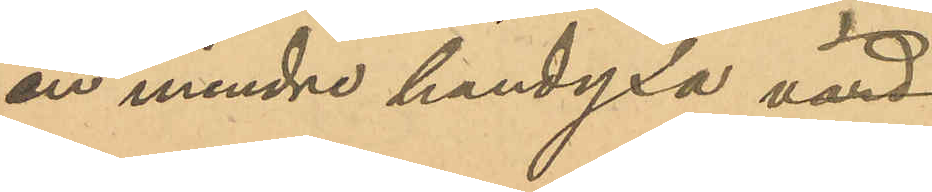en mindre handyxa värd
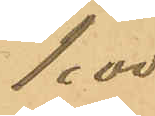1,00
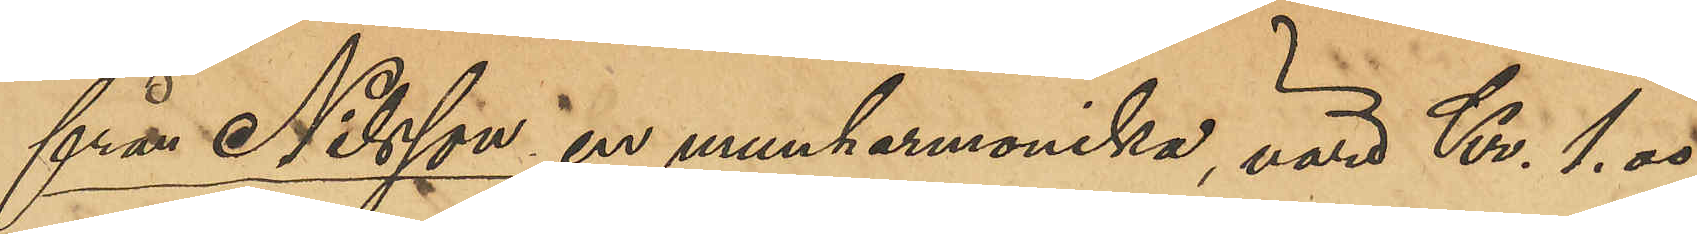från Nilsson en munharmonika, värd Kr. 1,00
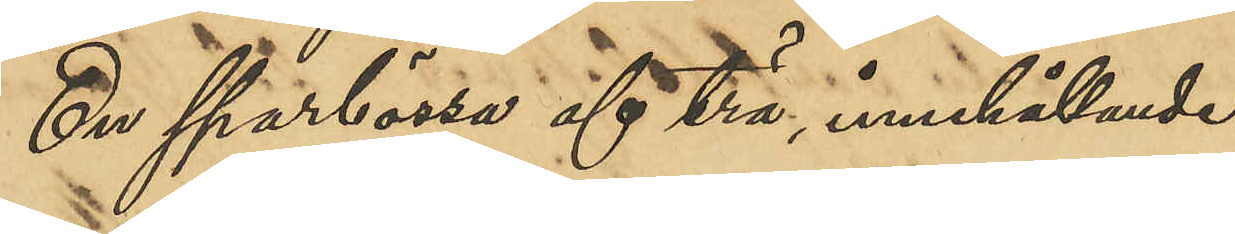En sparbössa af trä innehållande
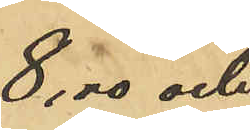8,00 och
